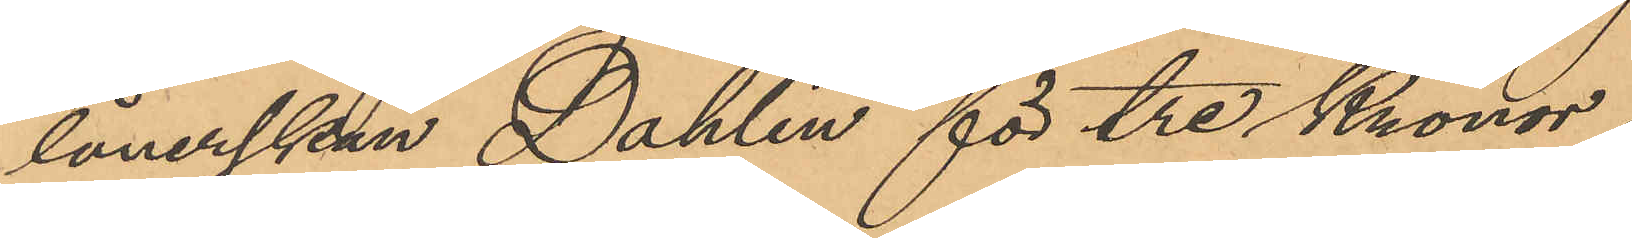lånerskan Dahlin för tre Kronor;
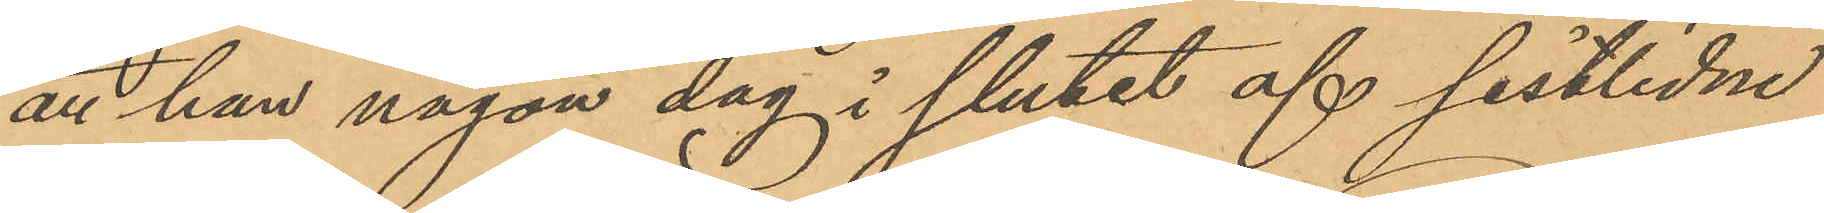att han någon dag i slutet af sistlidne
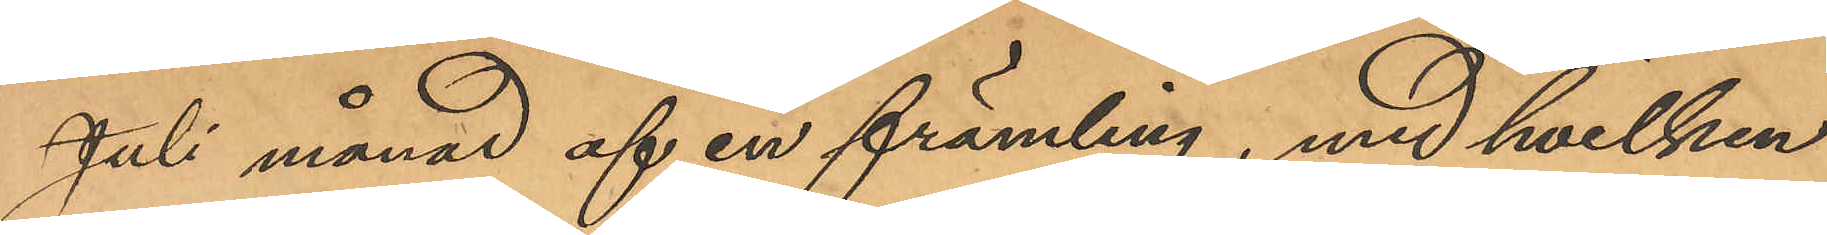Juli månad af en främling, med hvilken
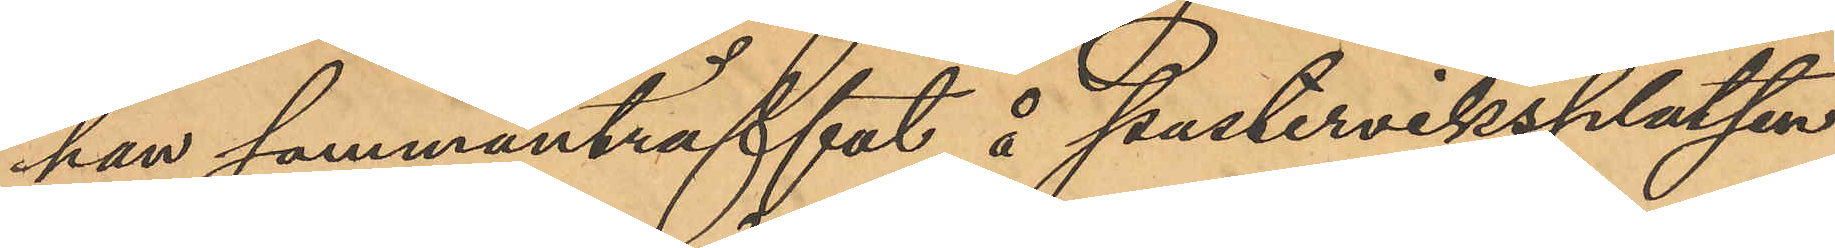han sammanträffat å Pusterviksplatsen
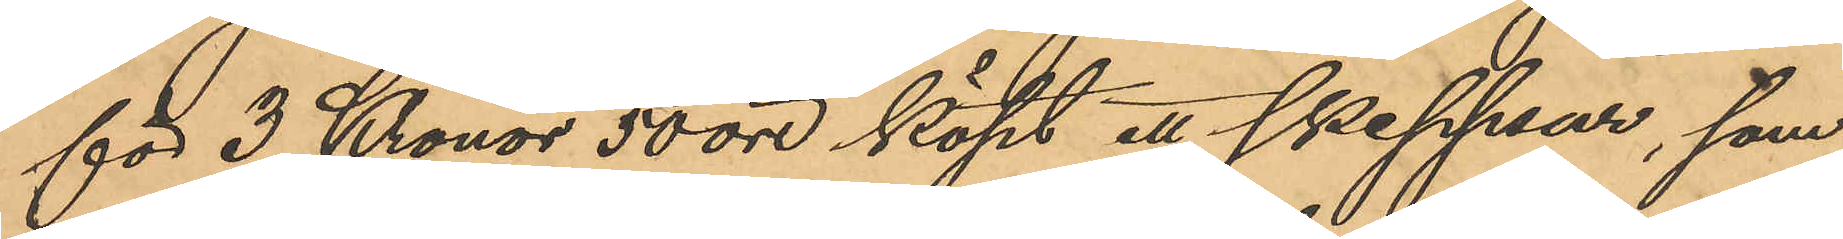för 3 Kronor 50 öre köpt ett skeppsur, som
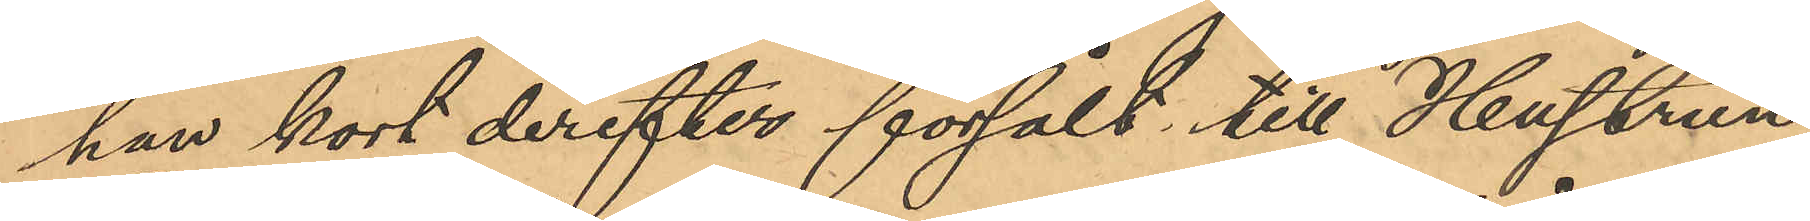han kort derefter försålt till Hustrun
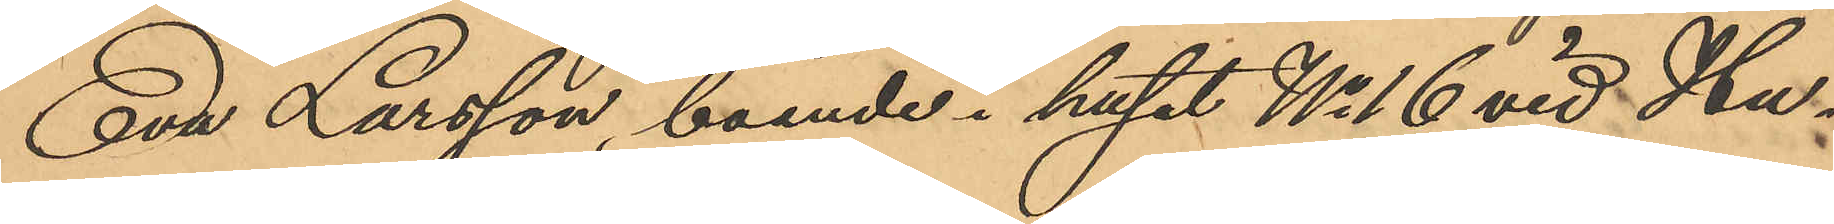Eva Larsson, boende i huset No 16 vid Hu¬
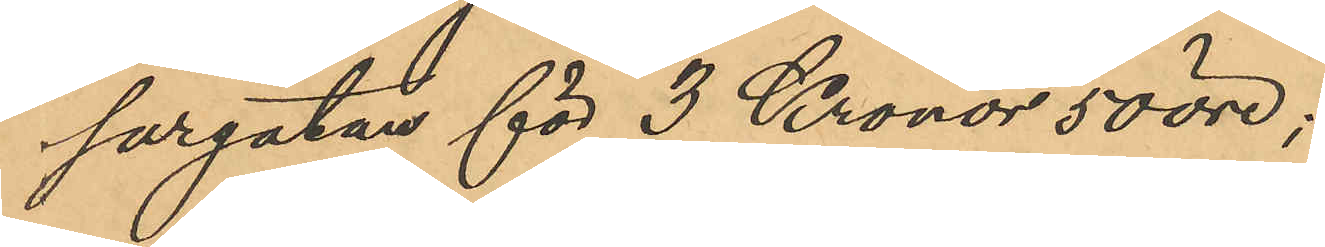sargatan för 3 Kronor 50 öre;
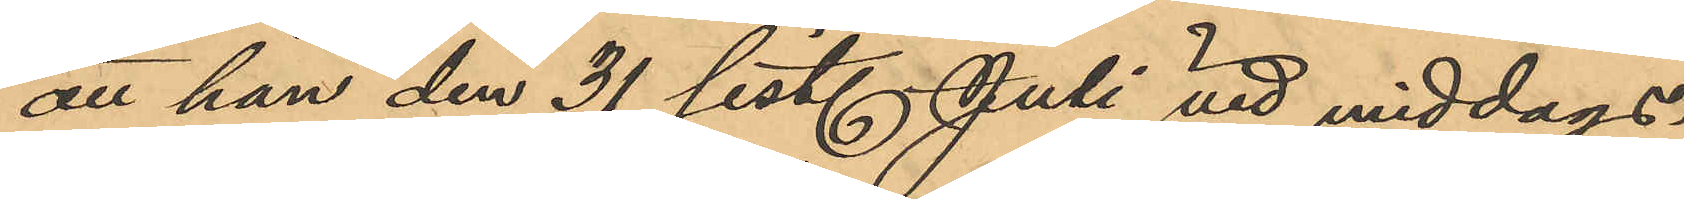att han den 31 sist. Juli vid middags¬
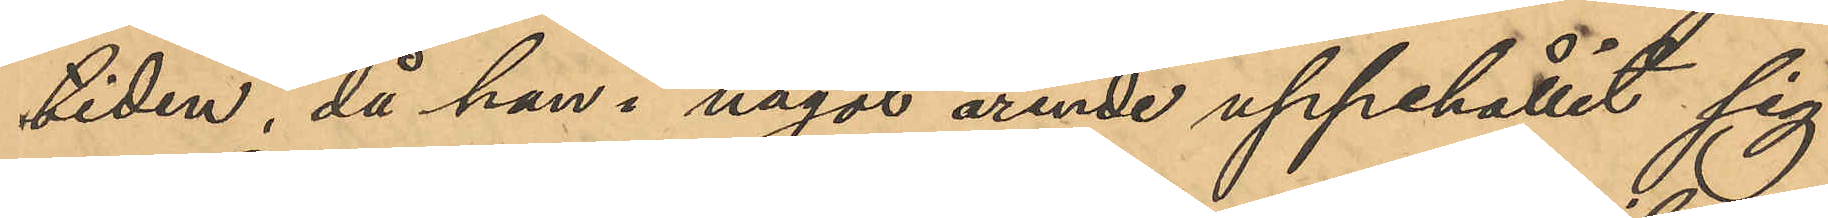tiden, då han i någon ärende uppehållit sig
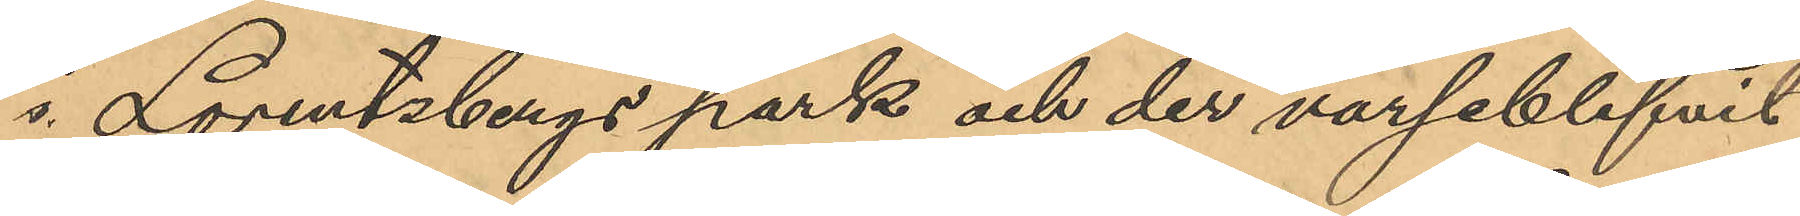i Lorentzbergs park och der varseblifvit
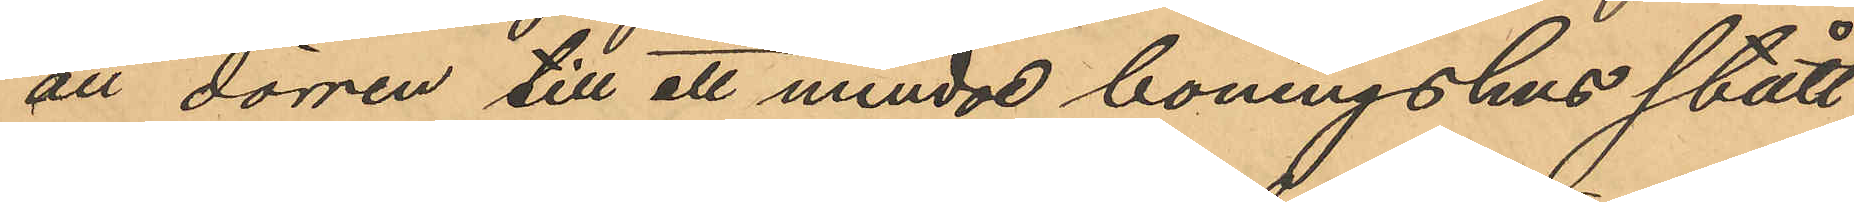att dörren till ett mindre boningshus stått
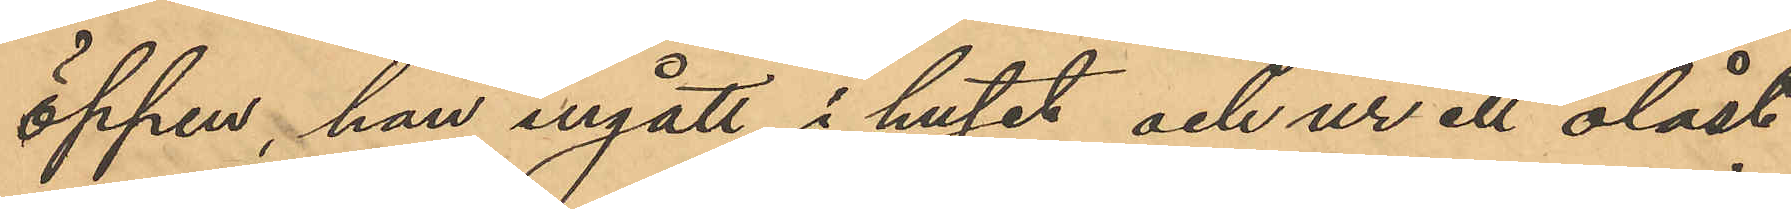öppen, han ingått i huset och ur ett olåst
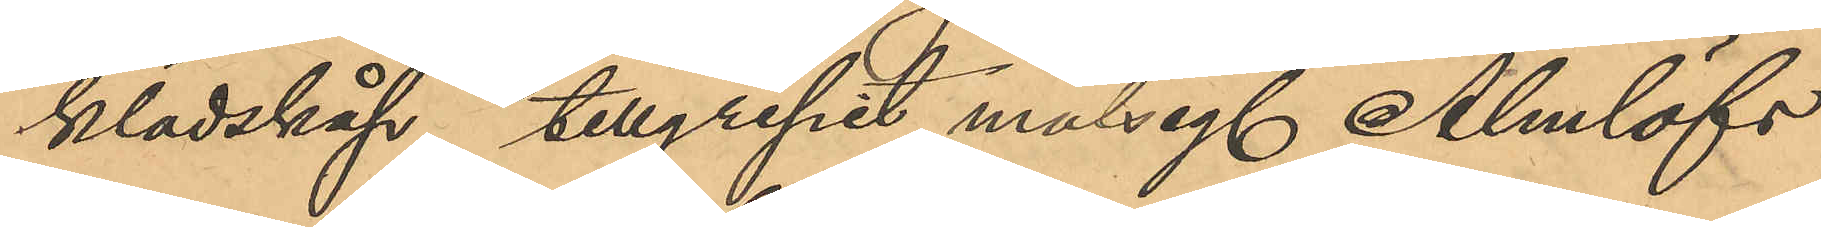klädskåp tillgripit målseg. Almlöfs
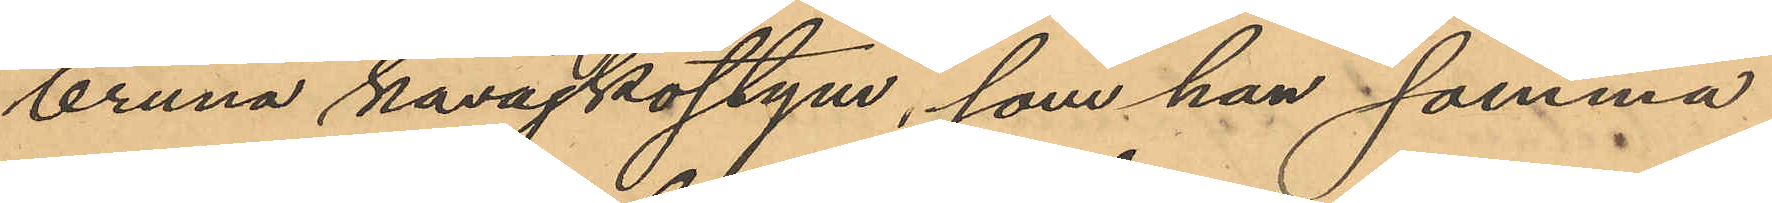bruna kavajkostym, som han samma
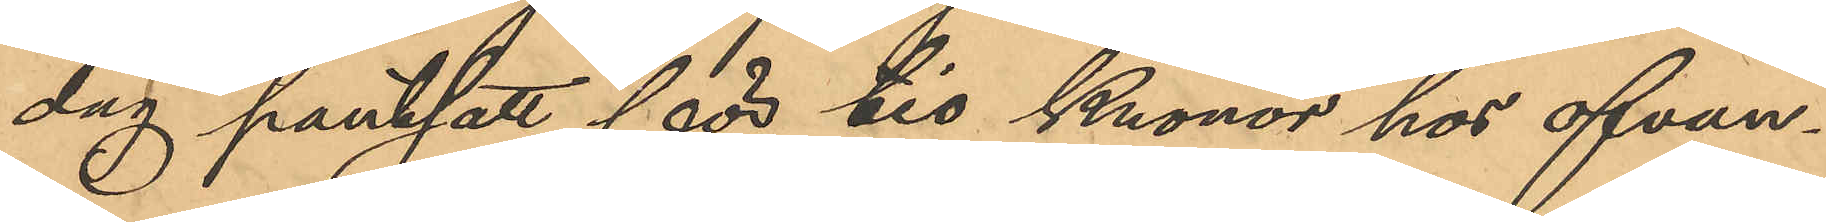dag pantsatt för tio Kronor hos ofvan¬
